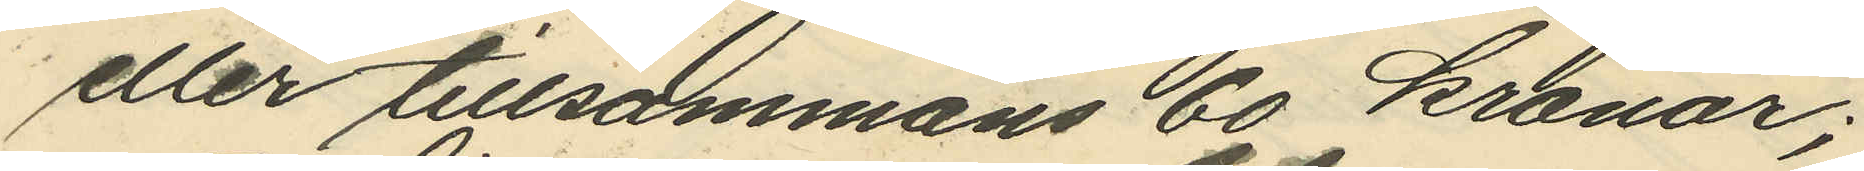eller tillsammans 60 kronor;
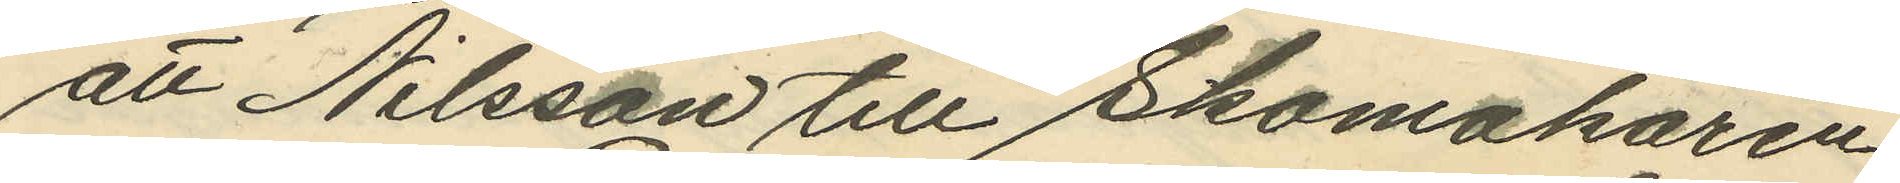att Nilsson till Skomakaren
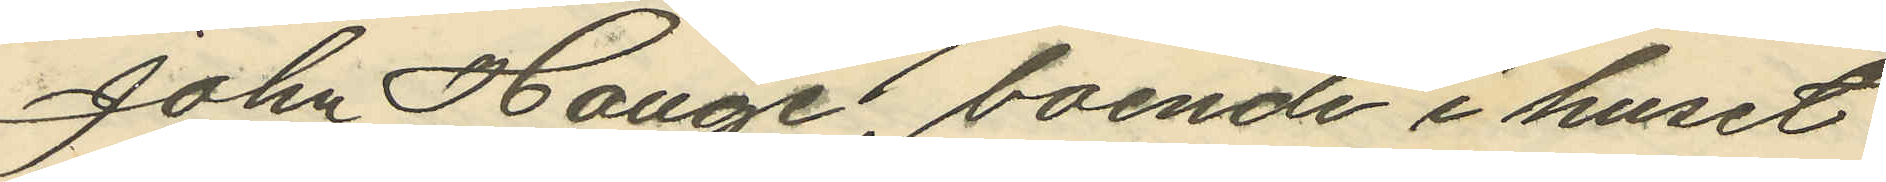John Hauge, boende i huset
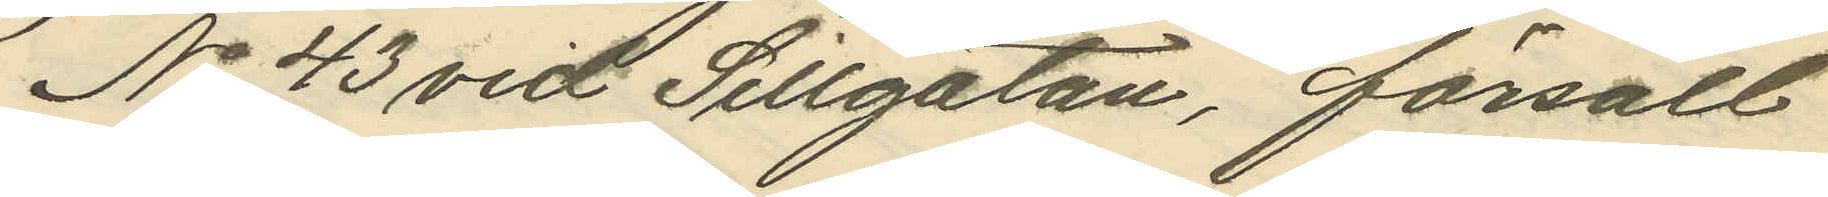No 43 vid Sillgatan, försålt
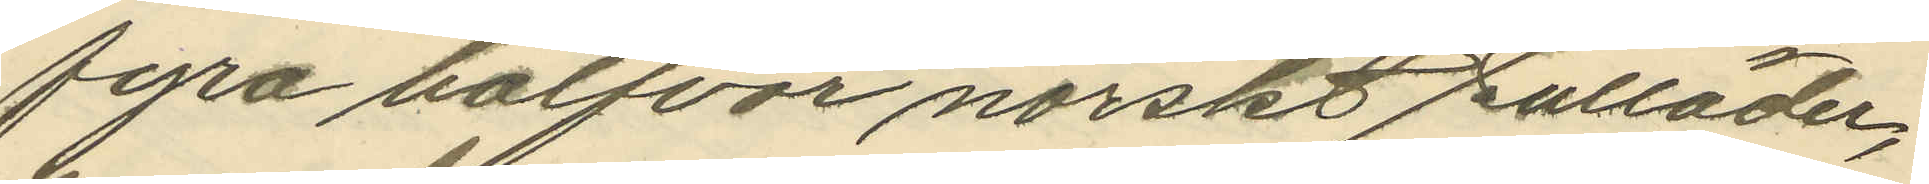fyra halfvor norskt sulläder,
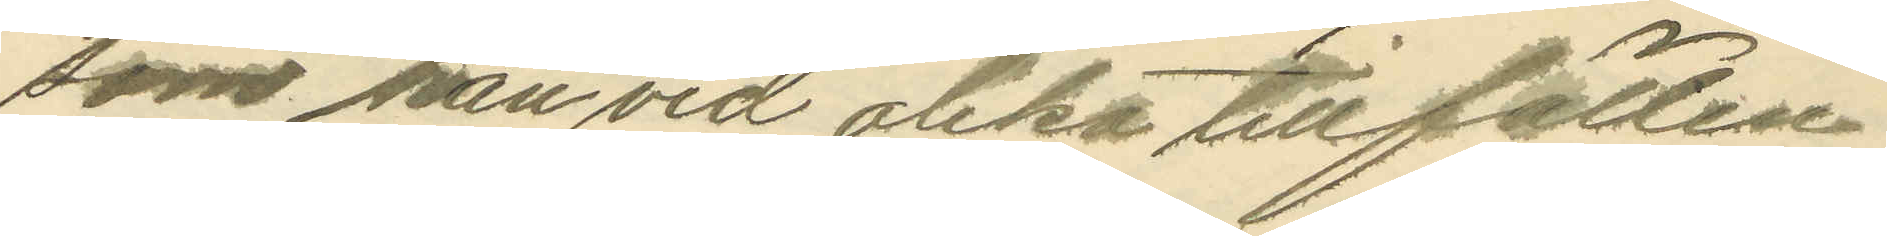som han vid olika tillfällen
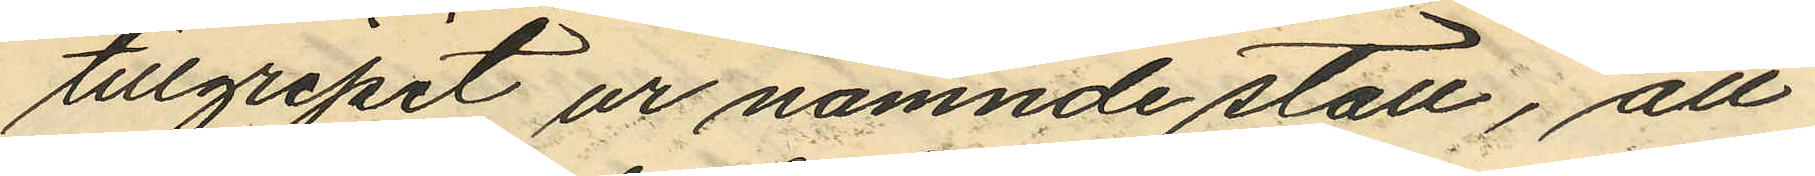tillgripit ur nämnde stall, att
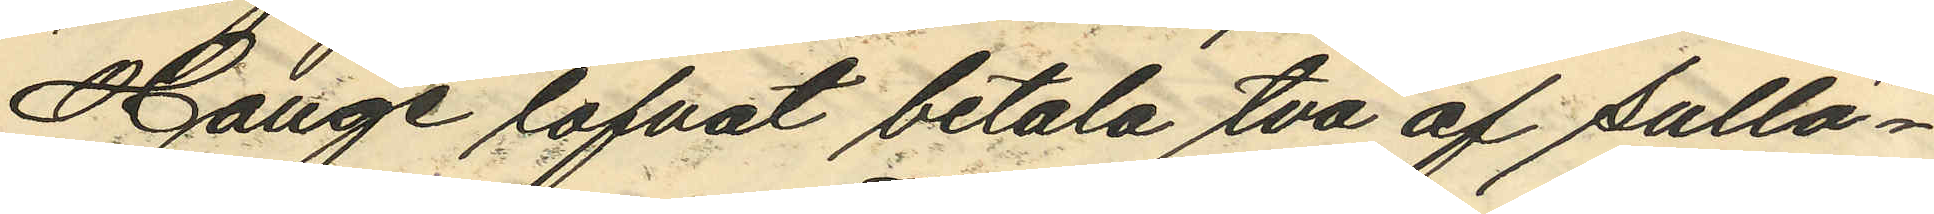Hauge lofvat betala två af sullä¬
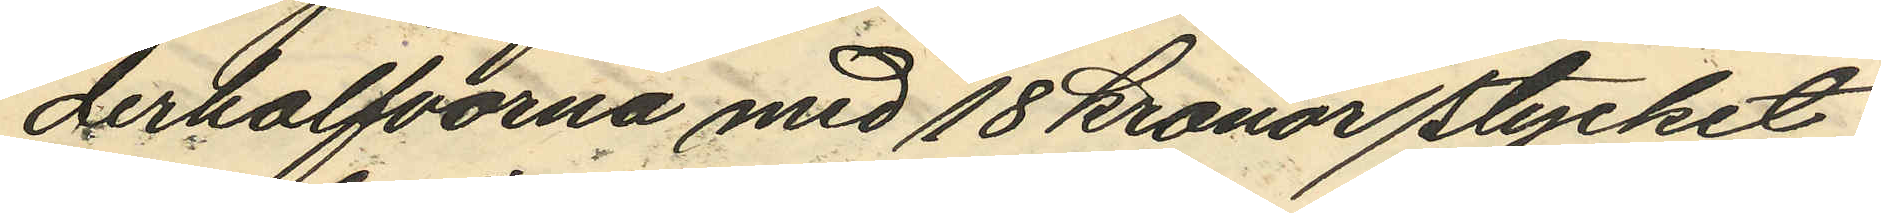derhalfvorna med 18 kronor stycket
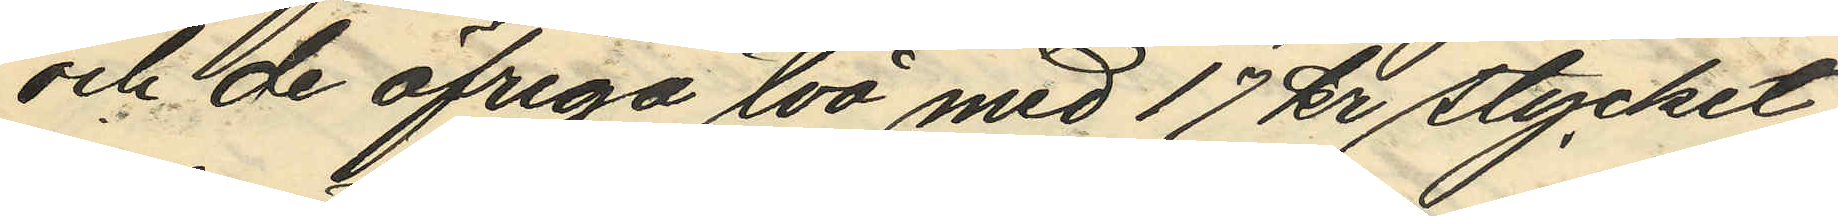och de öfriga två med 17 kr stycket
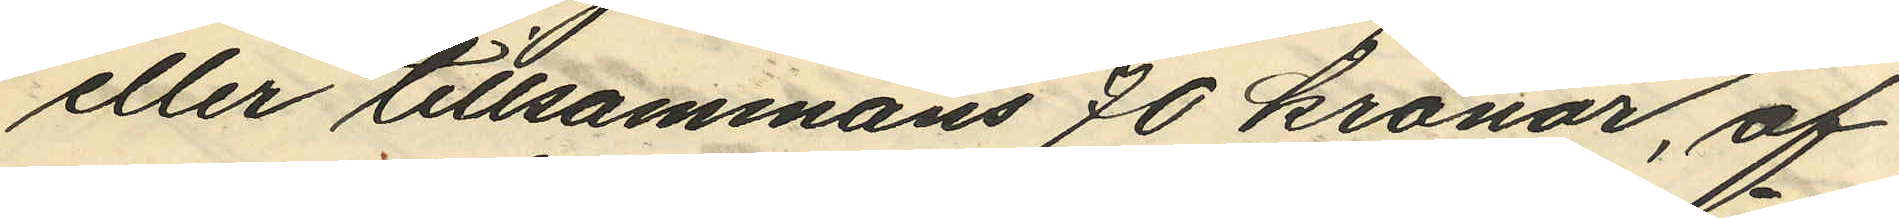eller tillsammans 70 kronor, af
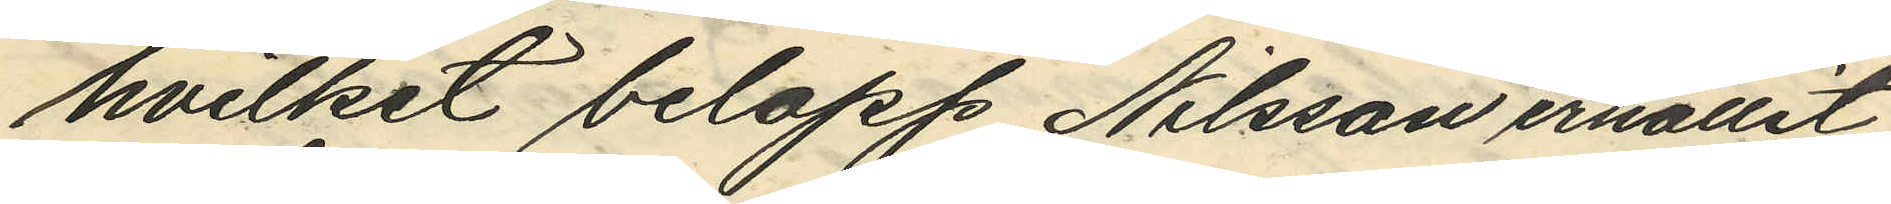hvilket belopp Nilsson ehållit
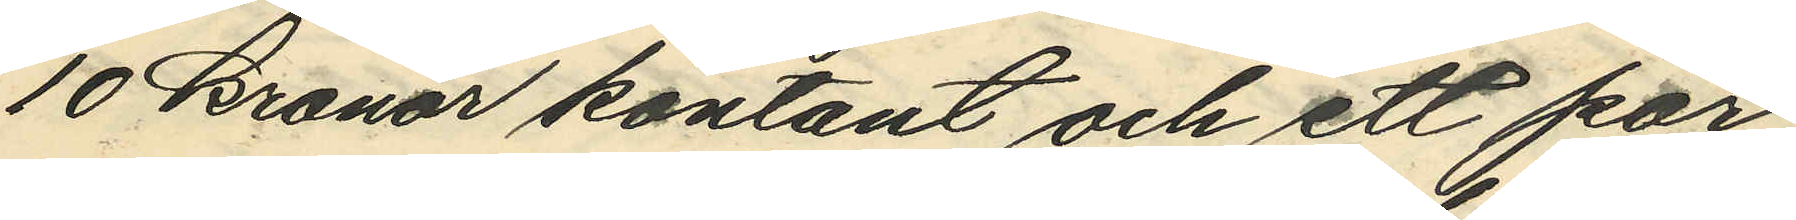10 kronor kontant och ett par
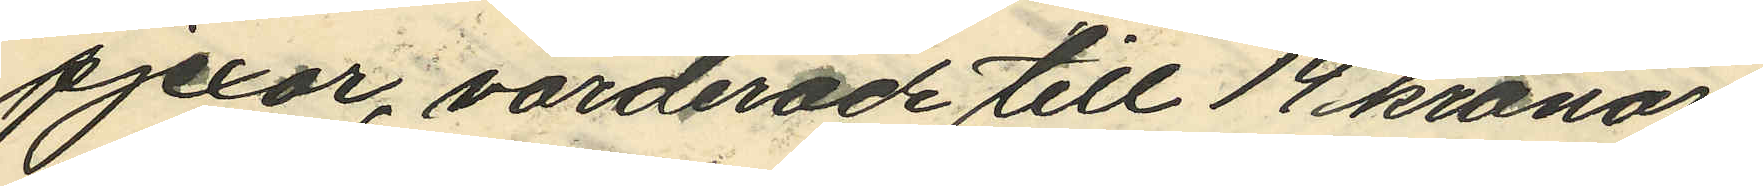pjexor, värderade till 14 kronor,
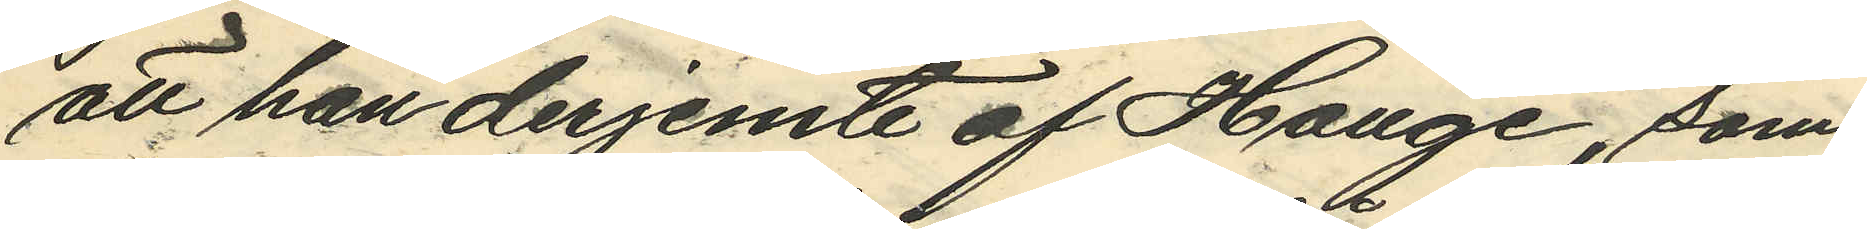att han derjemte af Hauge, som
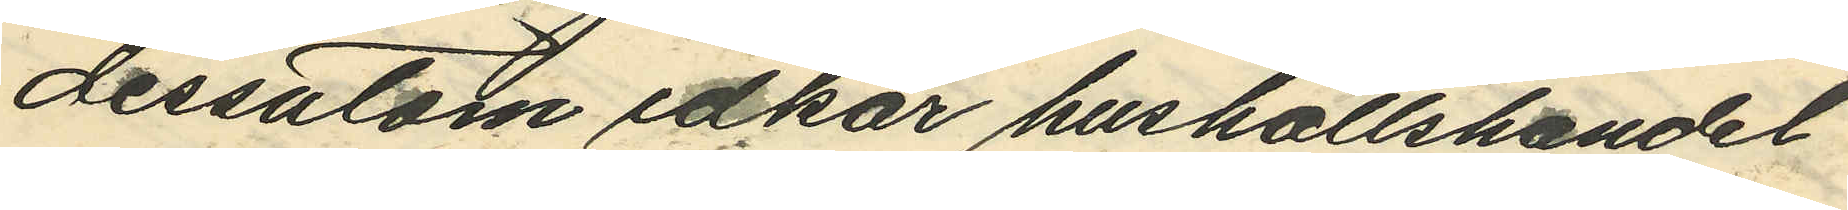dessatom idkar hushållshandel
